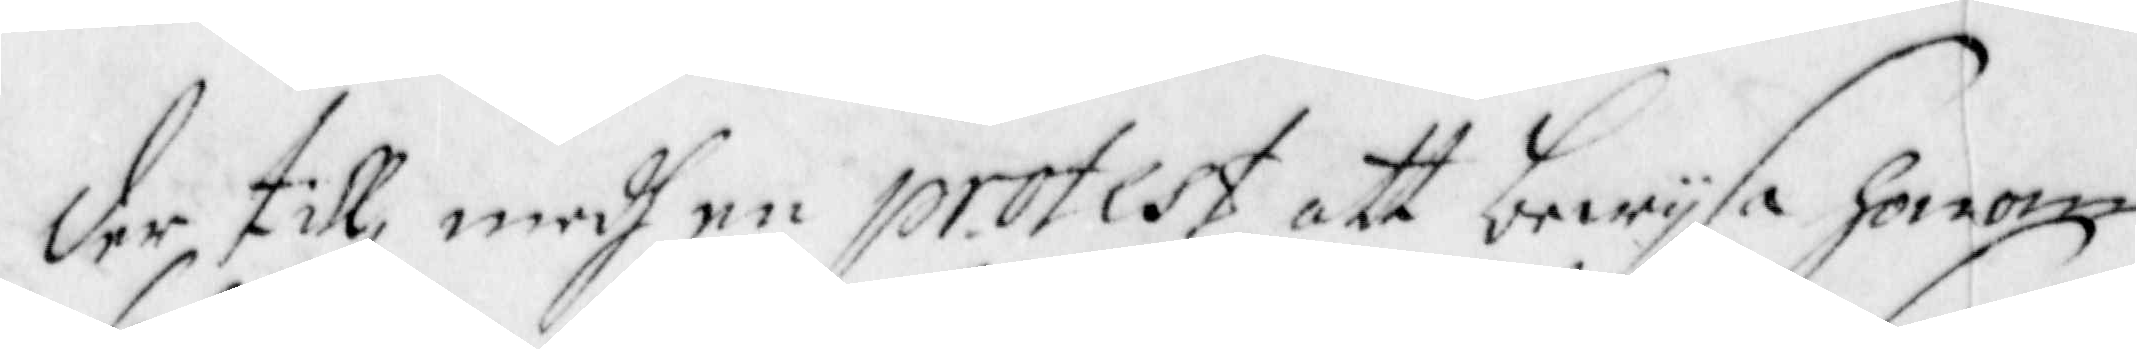der till, medh en Protest att bewijsa honom
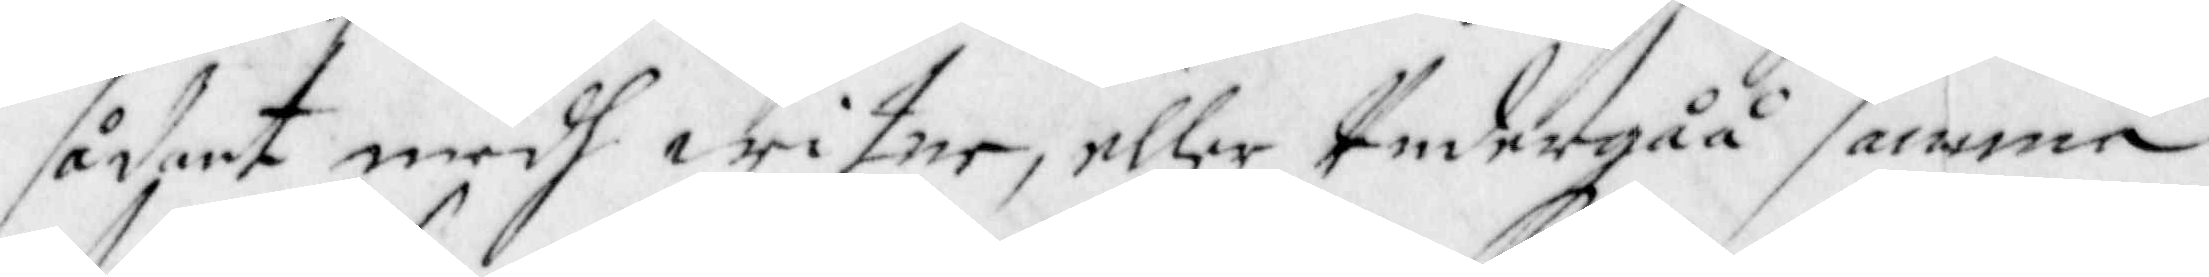sådant medh witne, eller Undergåå samma
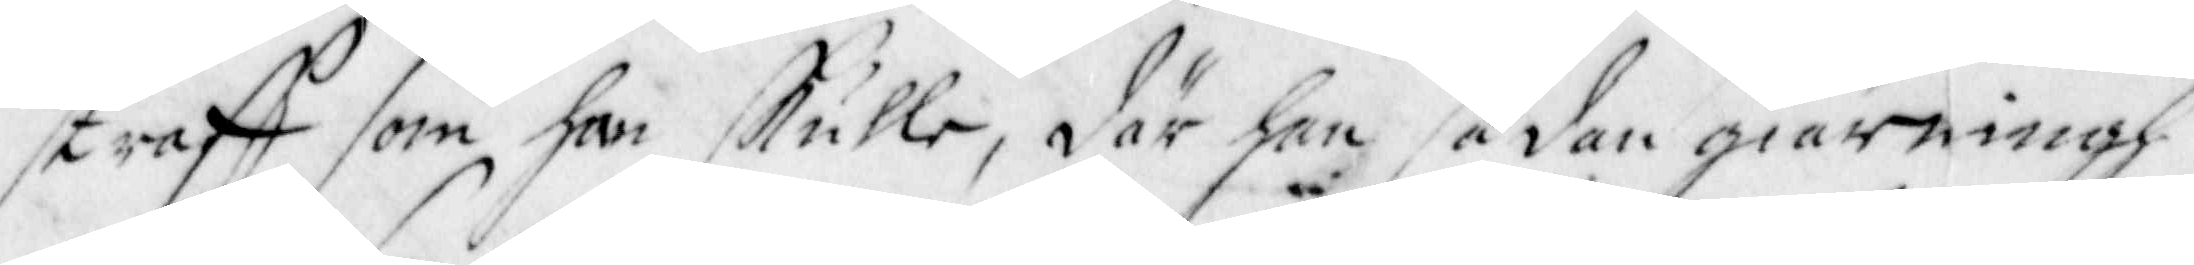straff som han skulle, där han sådan giärningh
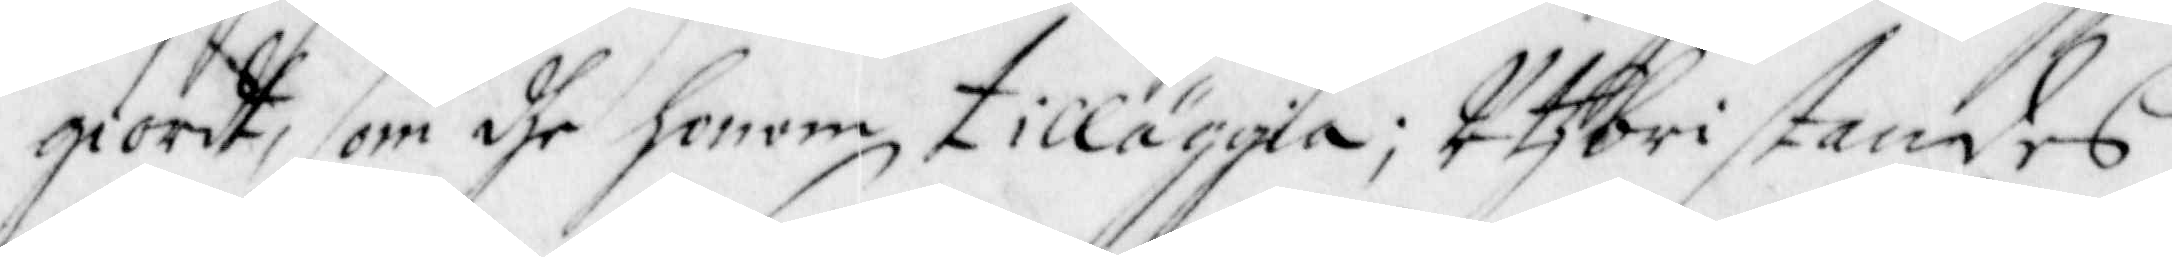giordt, som dhe honom tilläggia; Uthbristandes
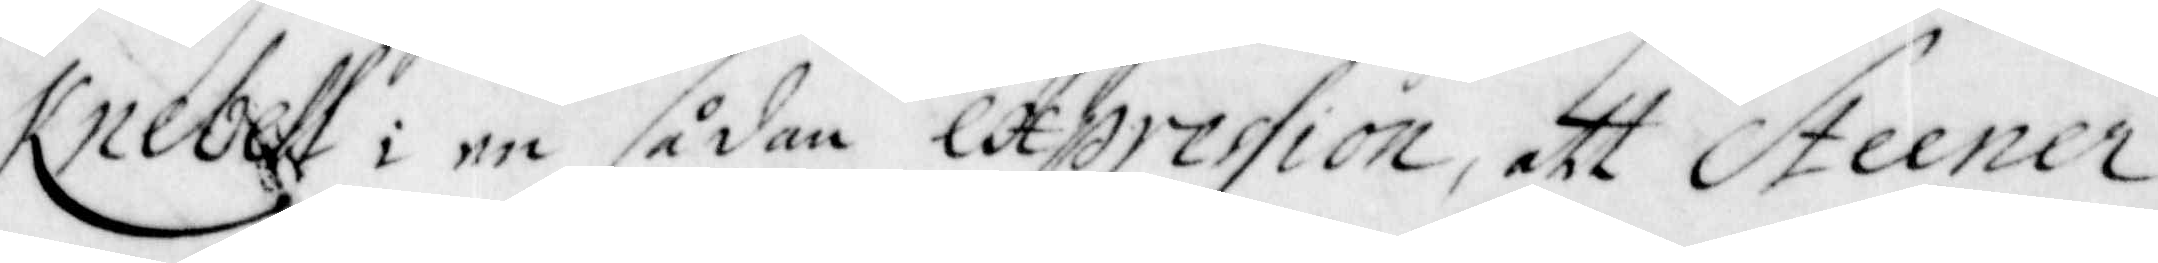Knebell i en sådan expression, att Steener
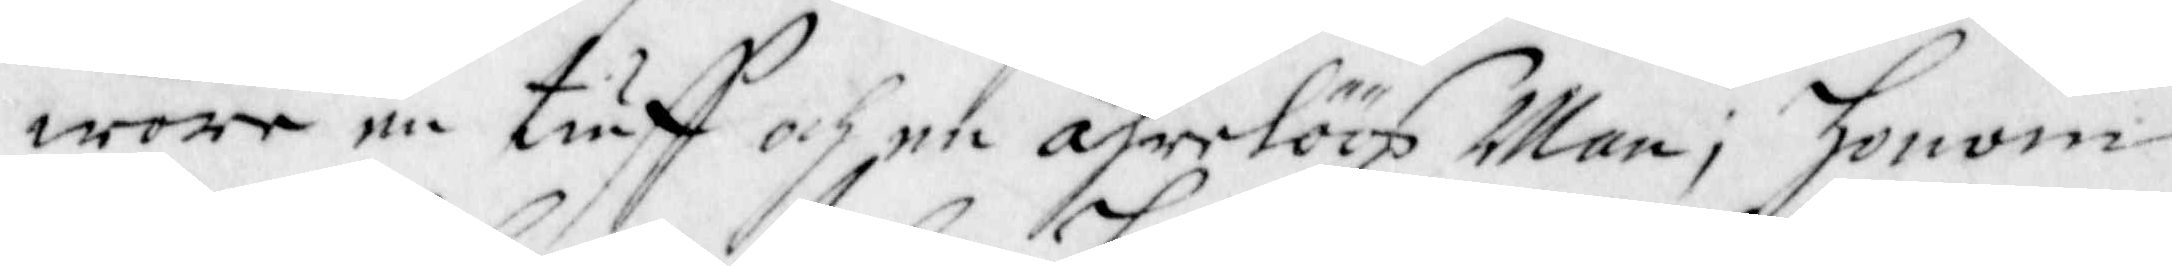wore en tiuff och en ährelöös Man; honom
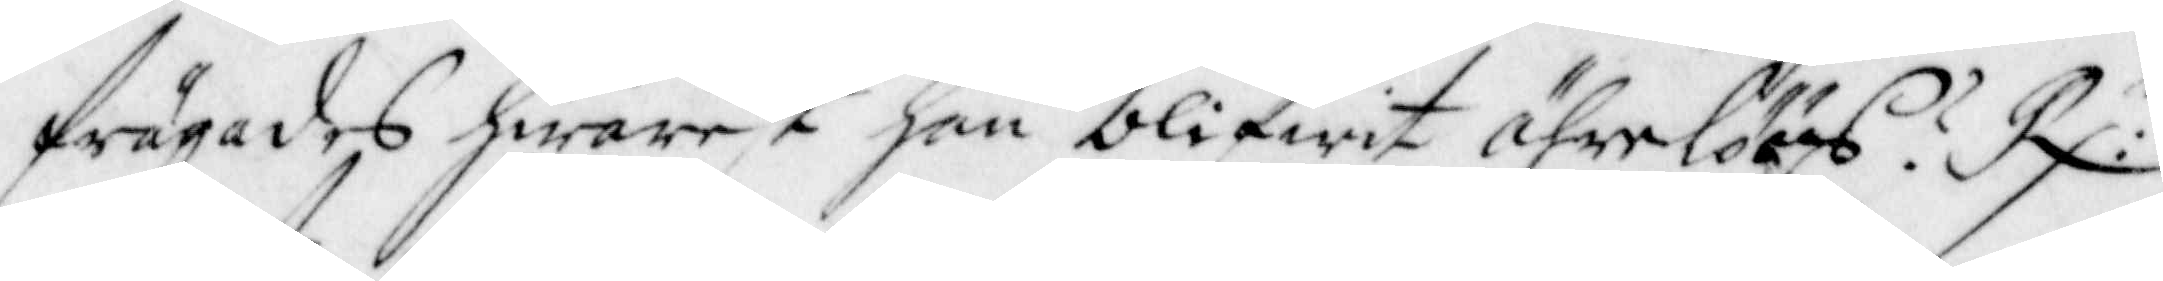frågades hwarest han blifwit ährelöös? R:r
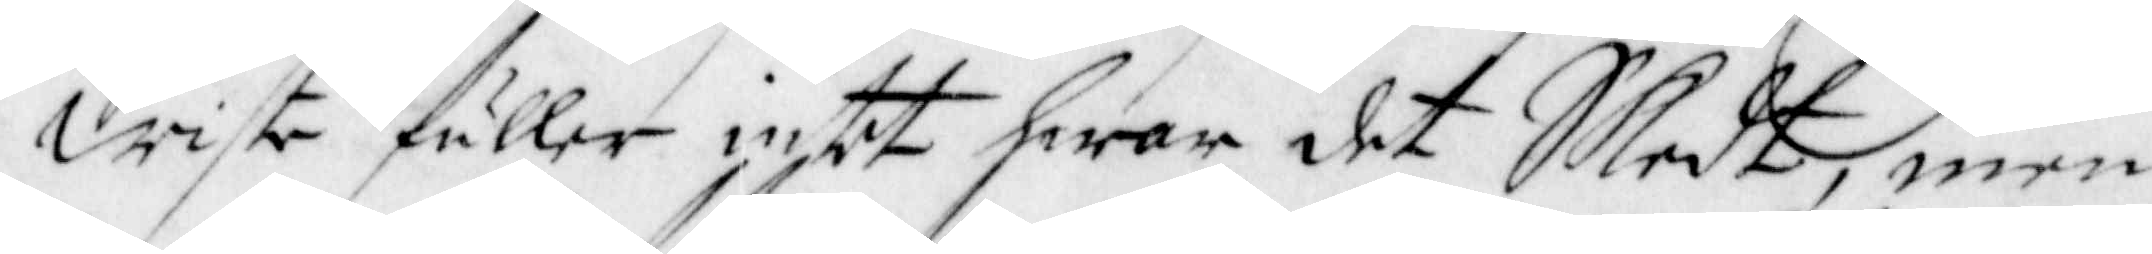Wiste fuller intet hwar det Skedt, men
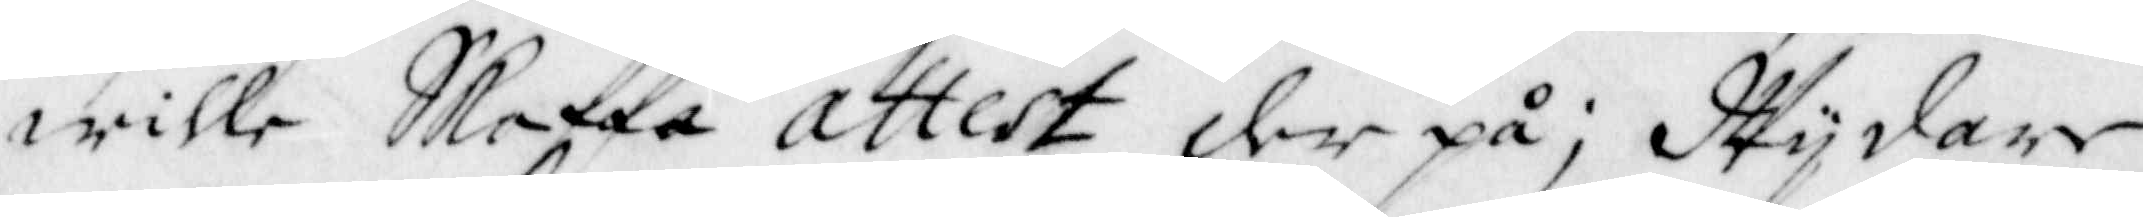wille Skaffa attest der på; Wijdare
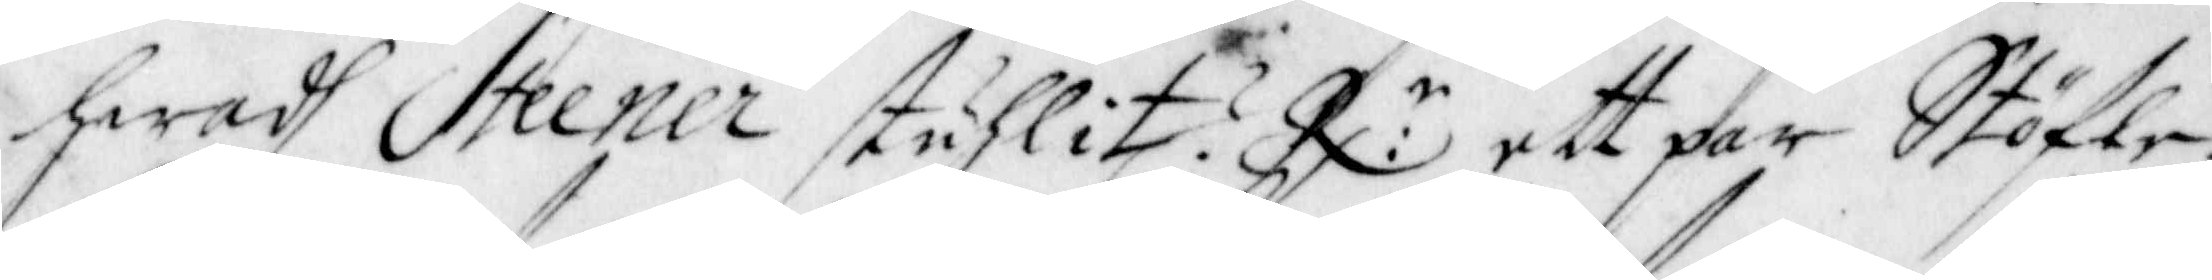hwadh Steener stuhlit? R:r ett par Stöfle-¬
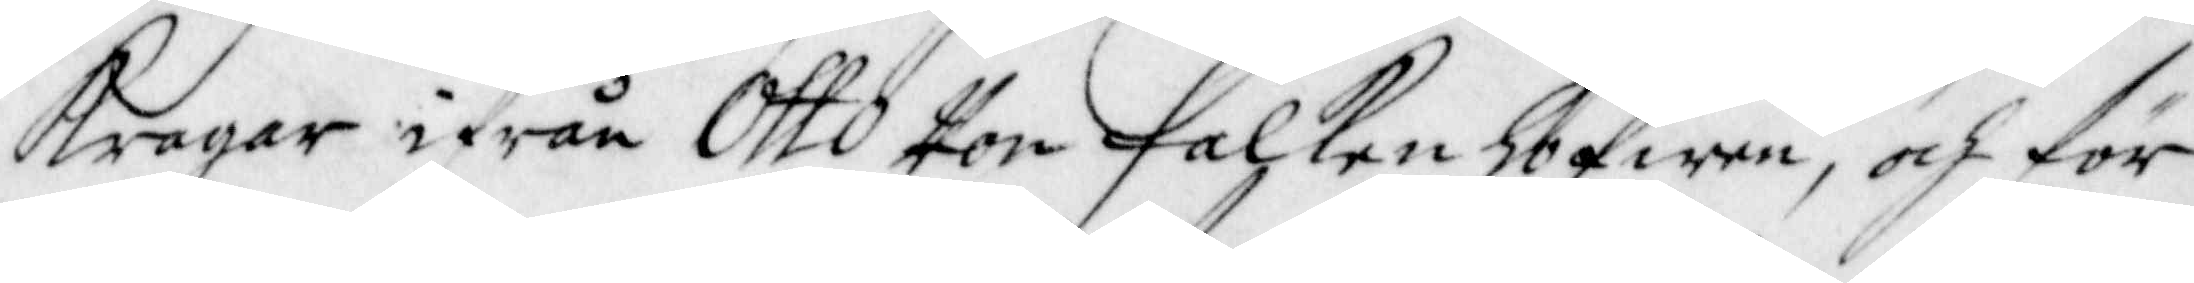Kragar ifrån Otto Von Falkenhofwen, och för
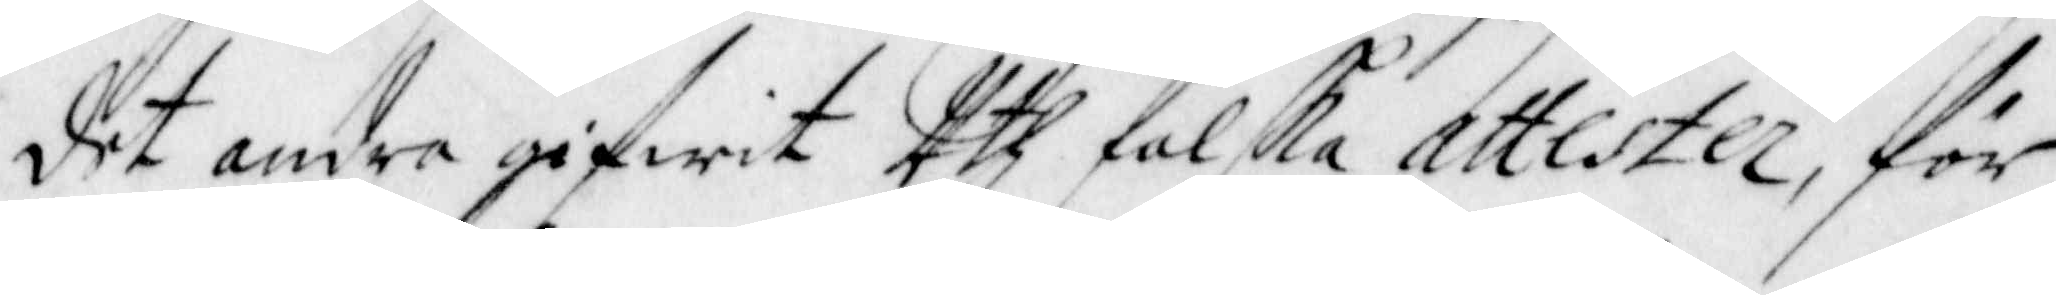det andra gifwit Uth falska attester, för
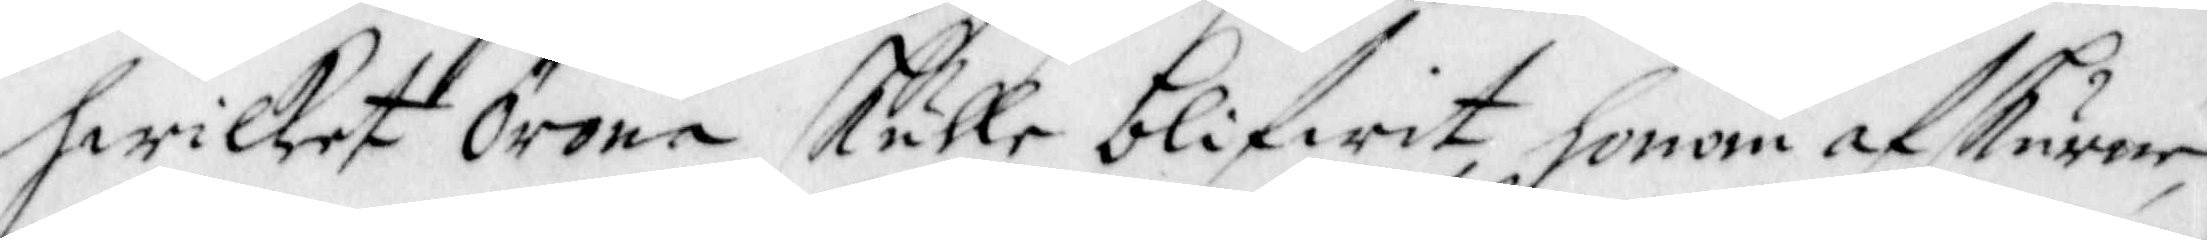hwilket Örona skulle blifwit honom afskurne,
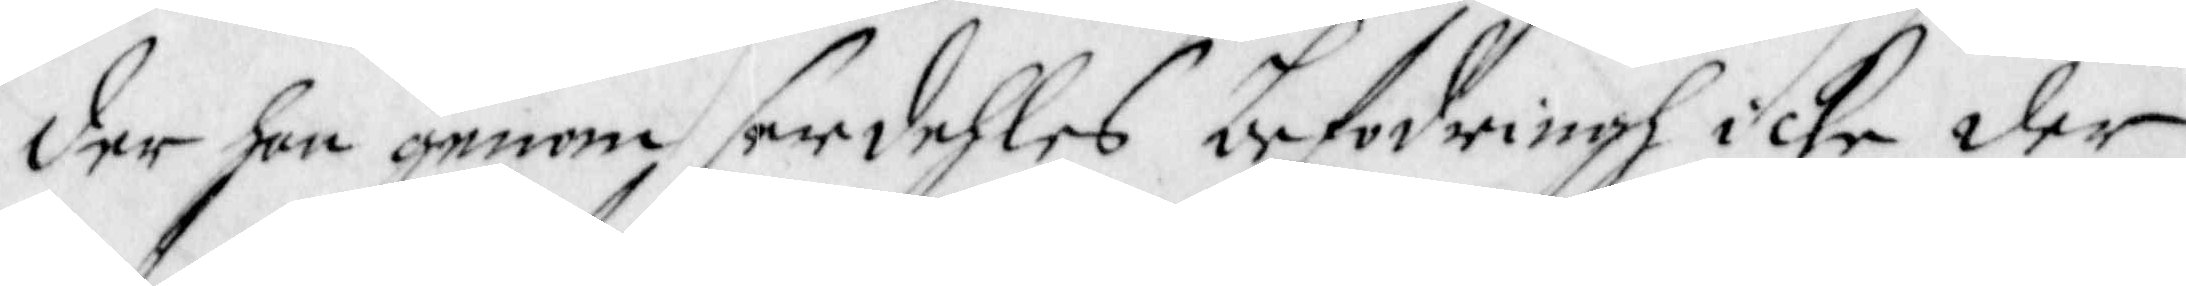der han genom serdehles befodringh icke der
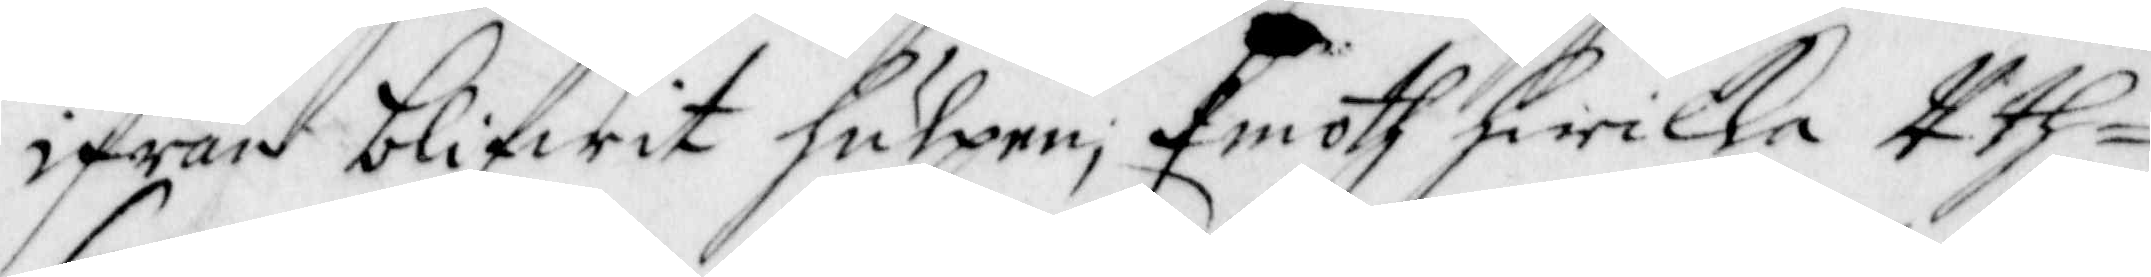ifrån blifwit hulpen; Emoth hwilka Uth¬
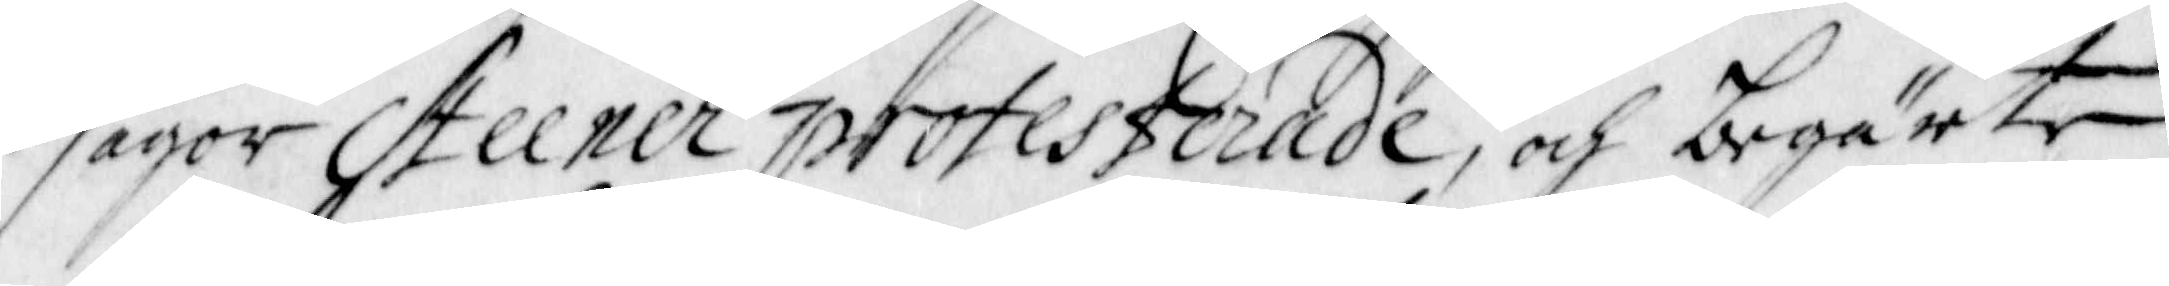sagor Steener protesterade, och begärte
